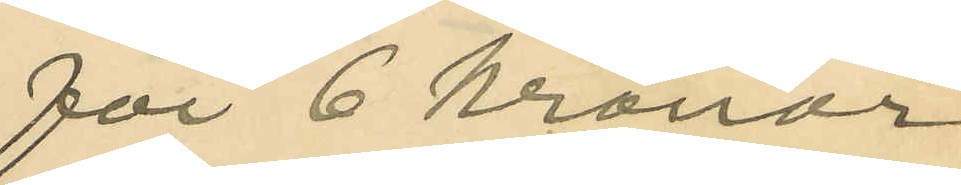för 6 kronor
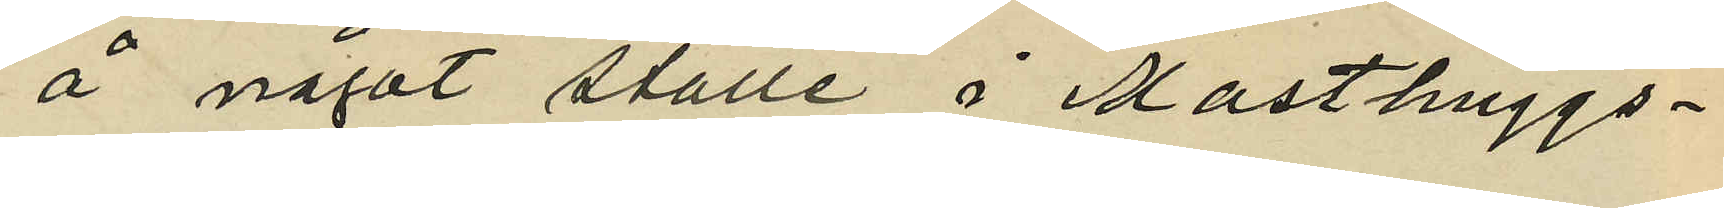å något ställe i Masthuggs¬
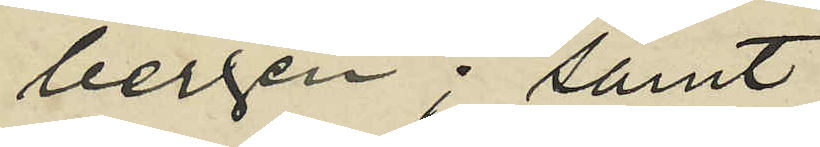bergen; samt
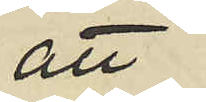att
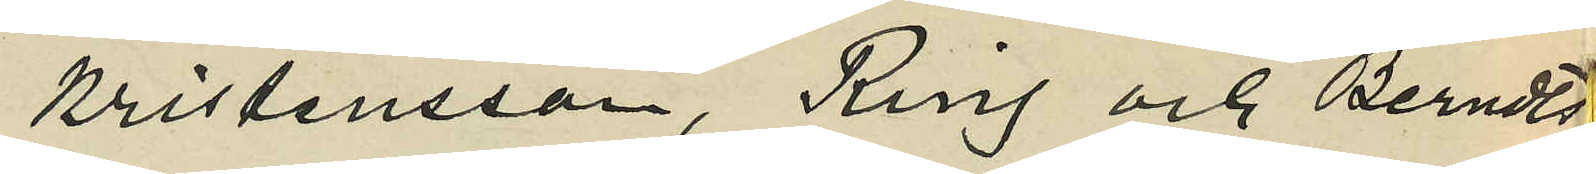Kristensson, Ring och Berndts¬
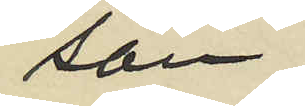son
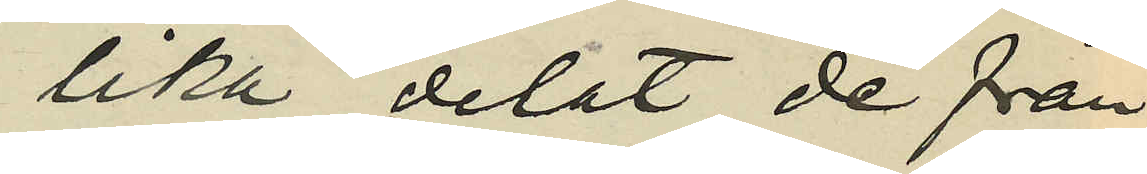lika delat de från
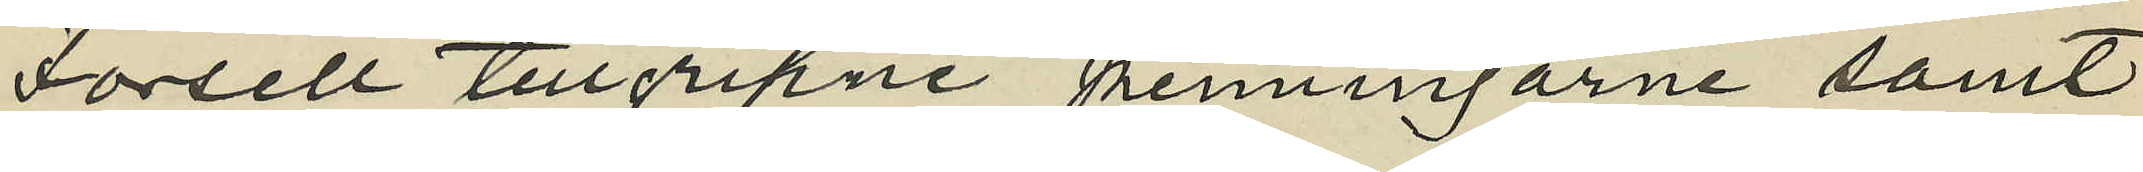Forsell tillgripne penningarne samt
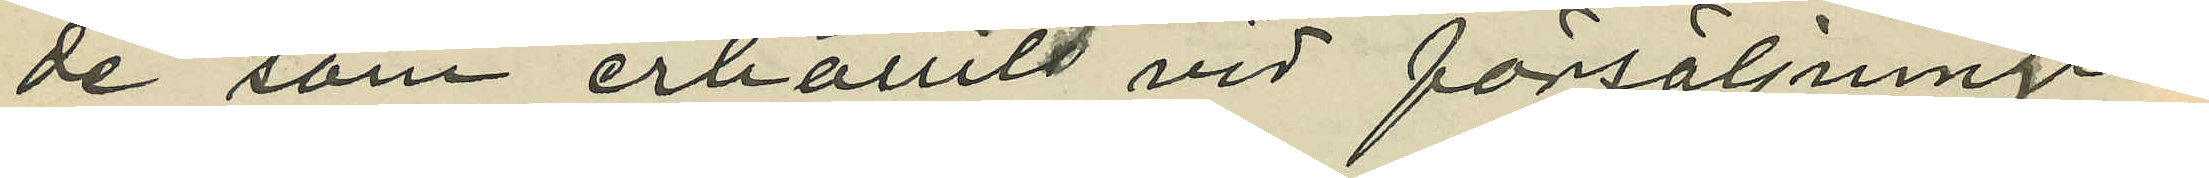de som erhållits vid försäljningen
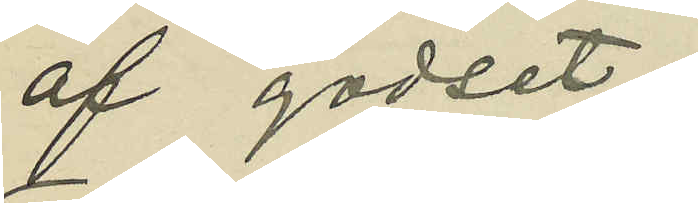af godset;
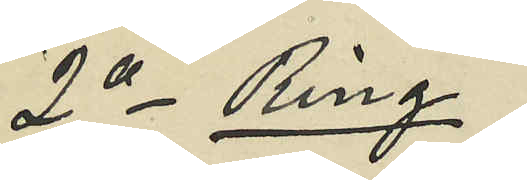2o Ring
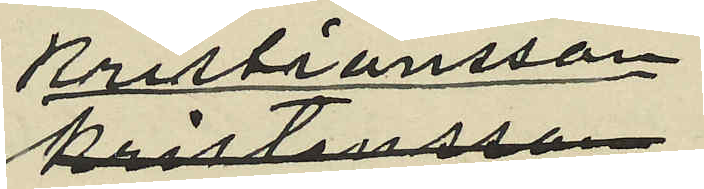Kristiansson
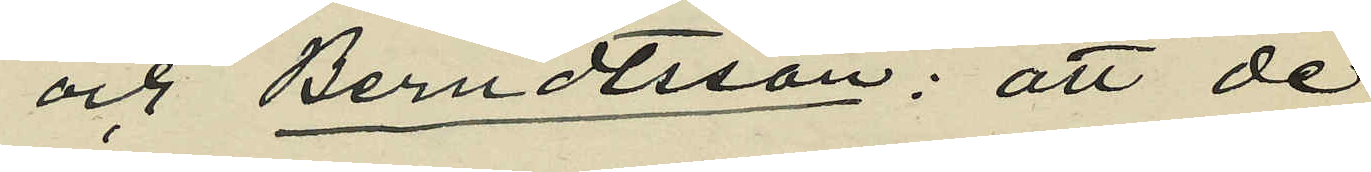och Berndtsson: att de
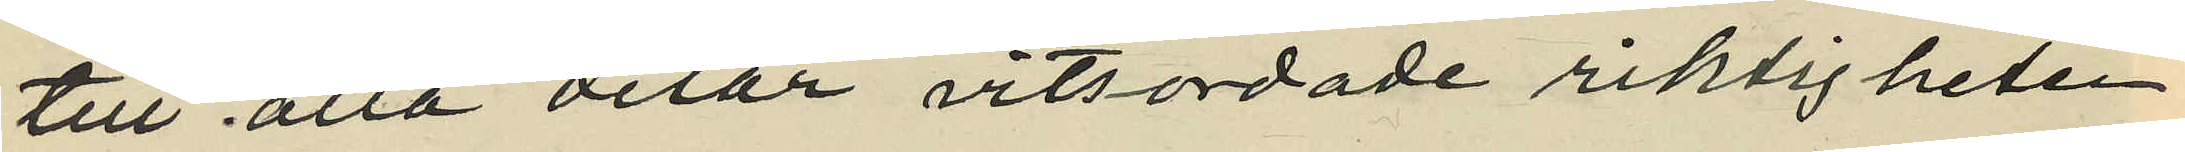till alla delar vitsordade riktigheten
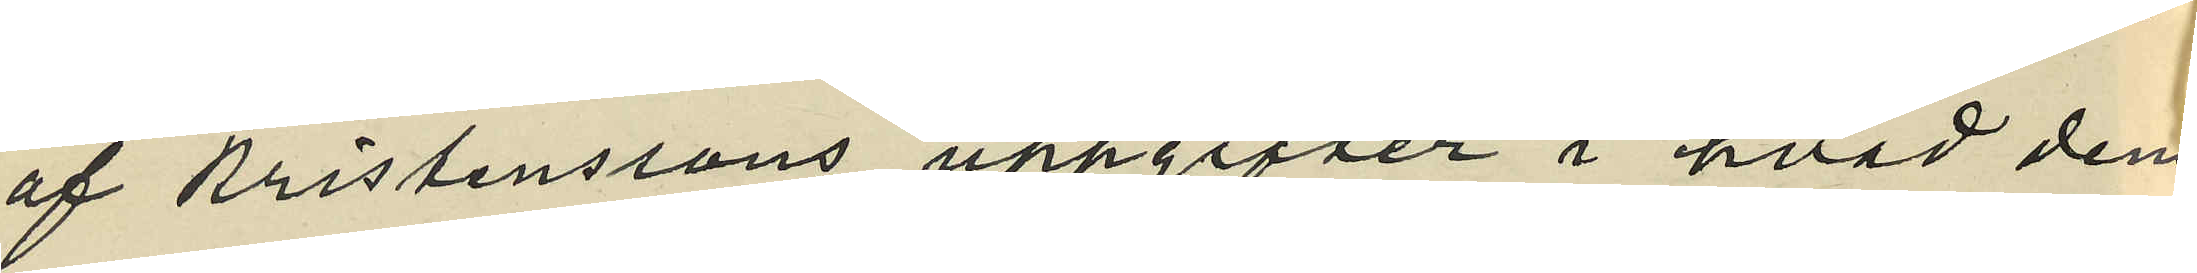af Kristenssons uppgifter i hvad dem
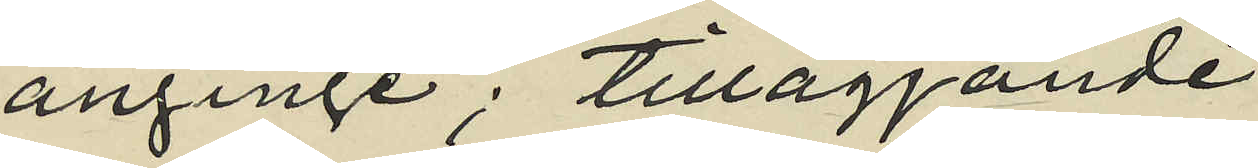anginge; tilläggande
